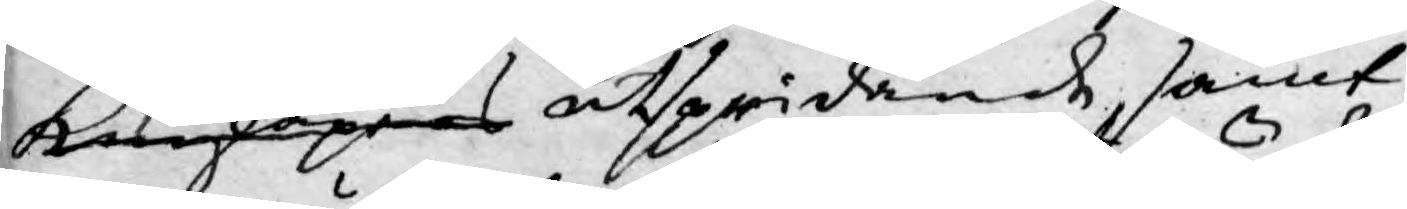kunkapers utspridande, samt
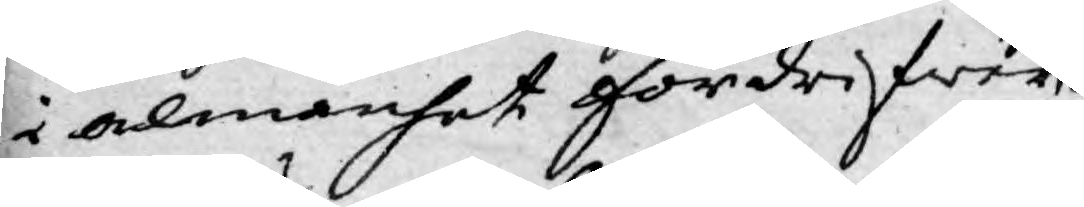i almänhet fördrifwer
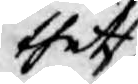thet
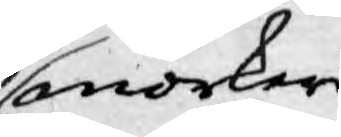mörker
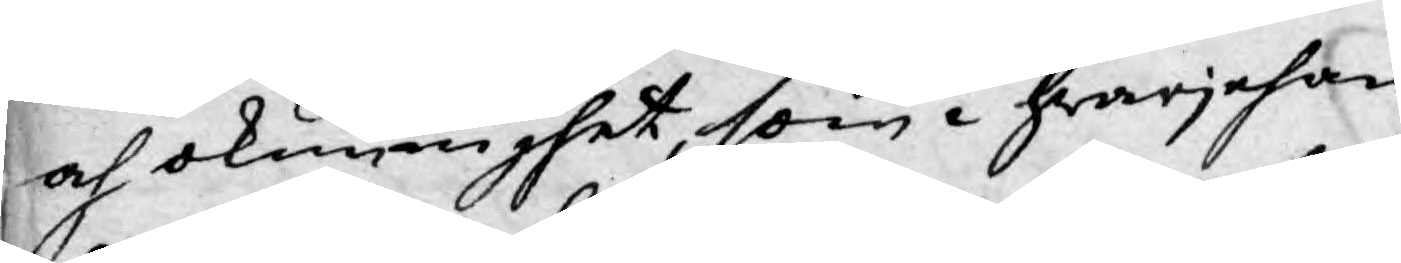och okunnighet, som i hwarjehan¬
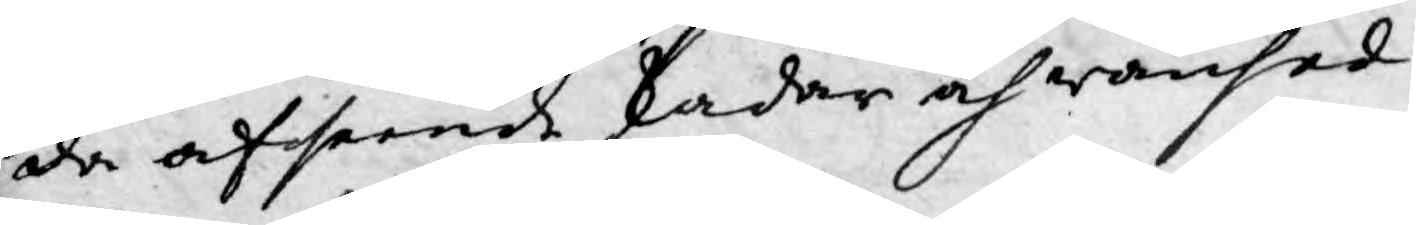da afseende skadar och wanhed¬
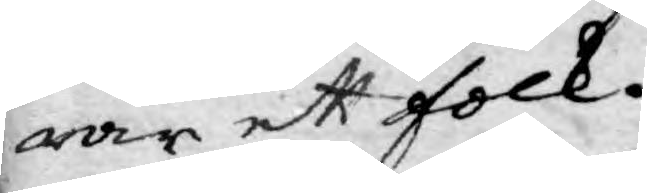rar ett folk.
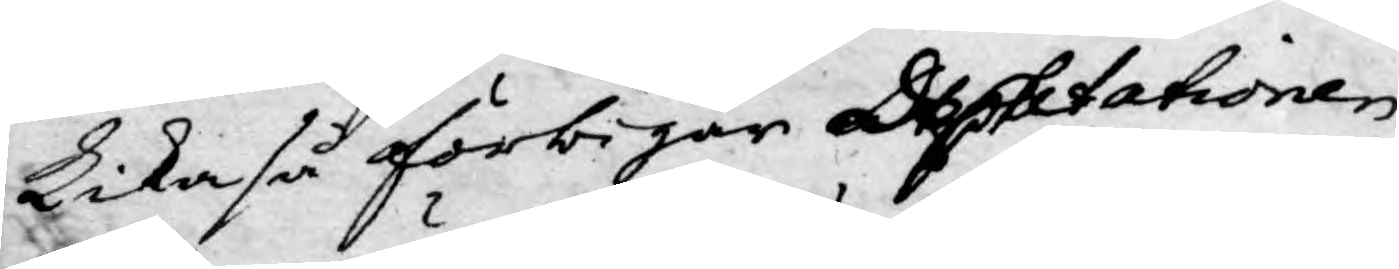Lika så förbigår Deputationen
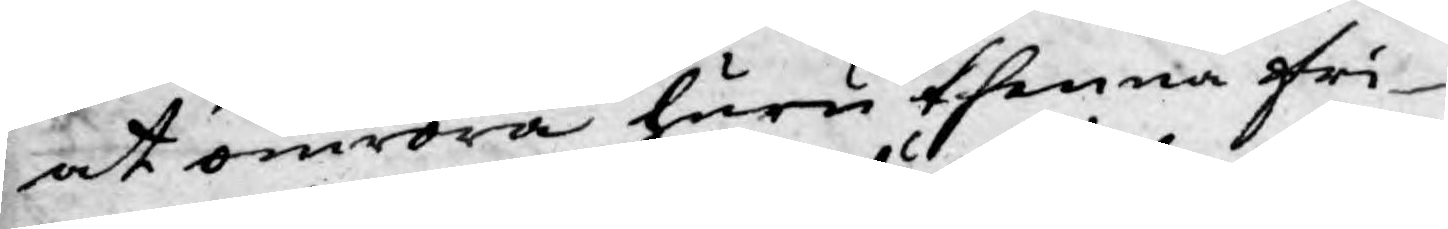at omröra huru thenna fri¬
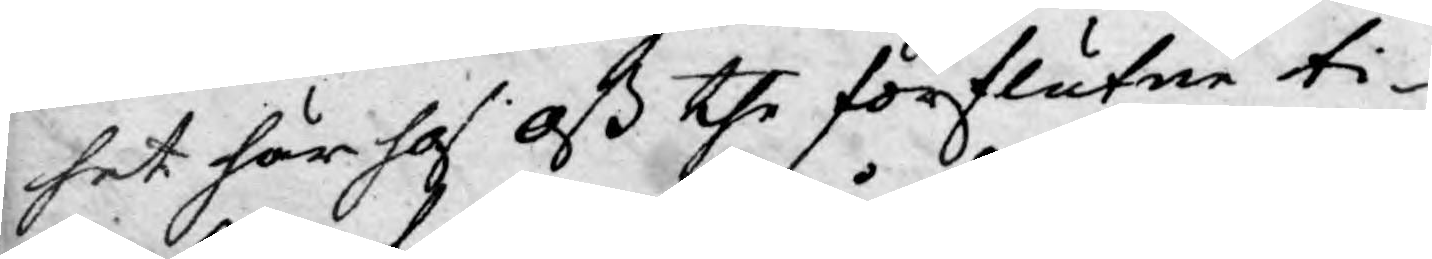het här hos oß the förflutne ti¬
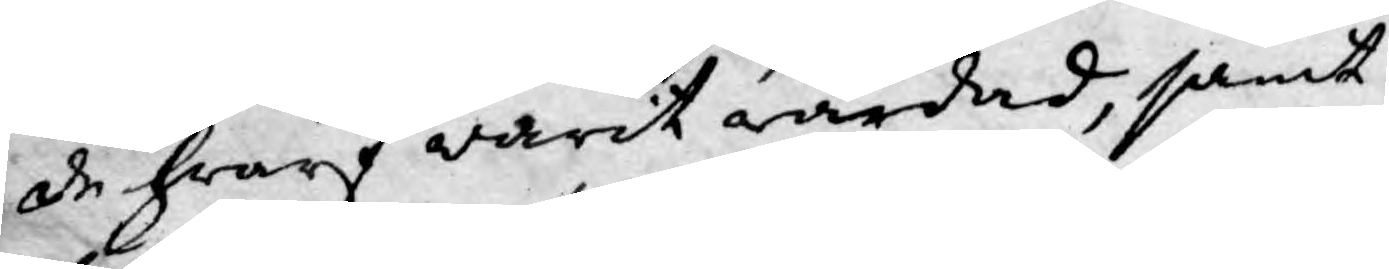de hwarf warit wårdad, samt
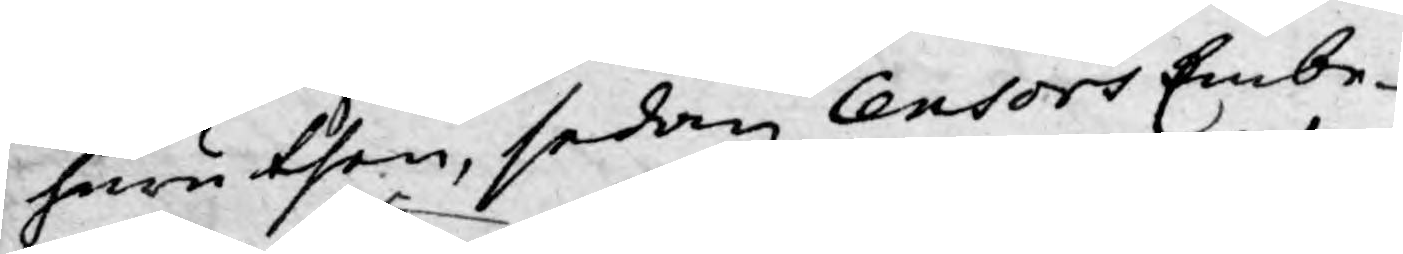huru then, sedan Censors Embe¬
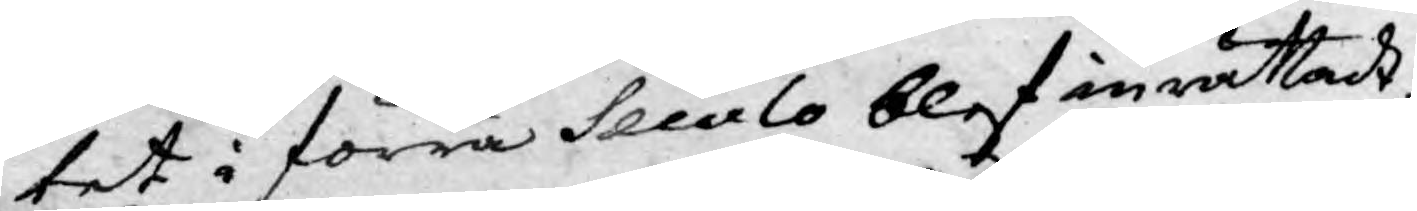tet i förra Seculo blef inrättadt,
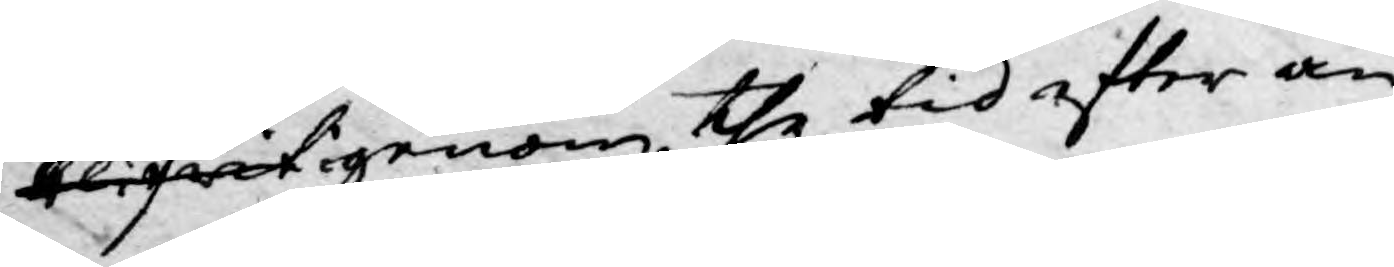blifwit igenom the tid effter an¬
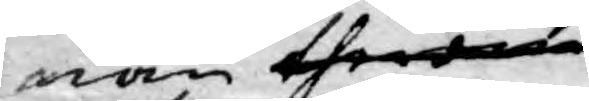nan therom
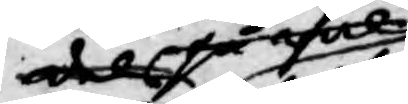dels så wel
